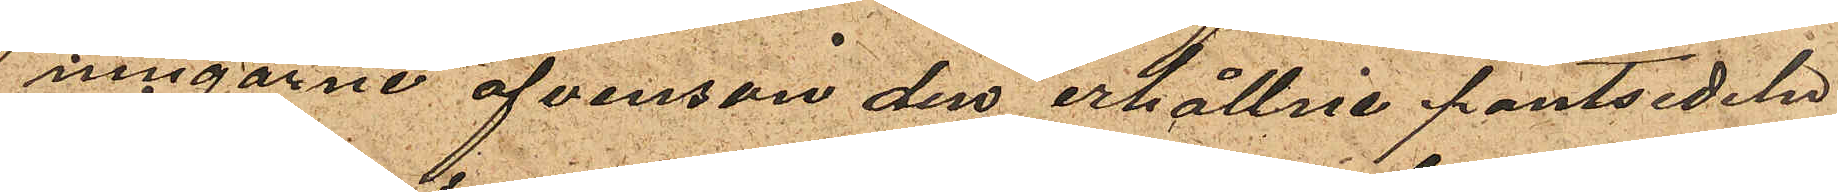ningarne afvenson den erhållne pantsedeln
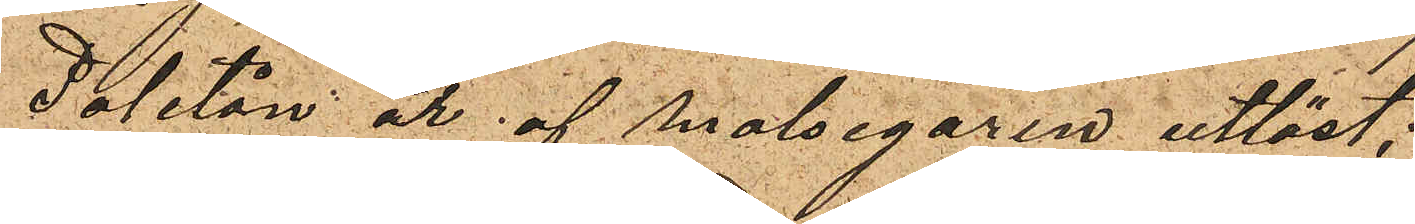Paletån är af målsegaren utlöst;
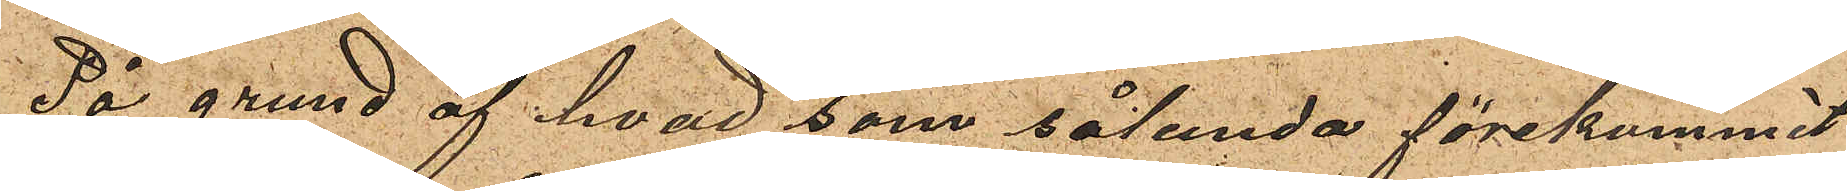På grund af hvad som sålunda förekommit
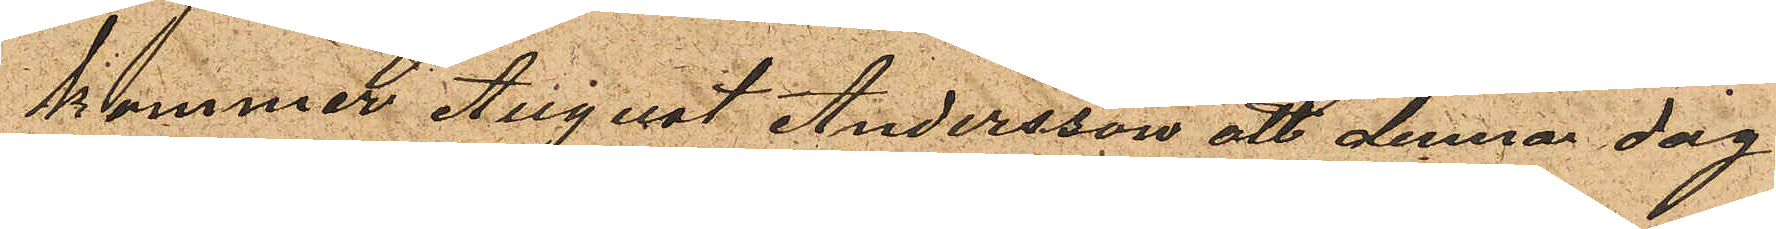kommer August Andersson att denna dag
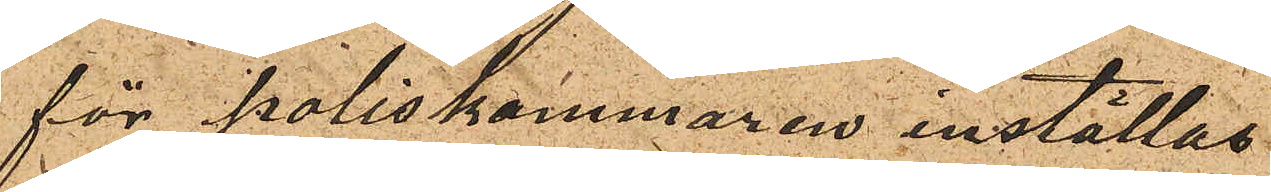för Poliskammaren inställas.
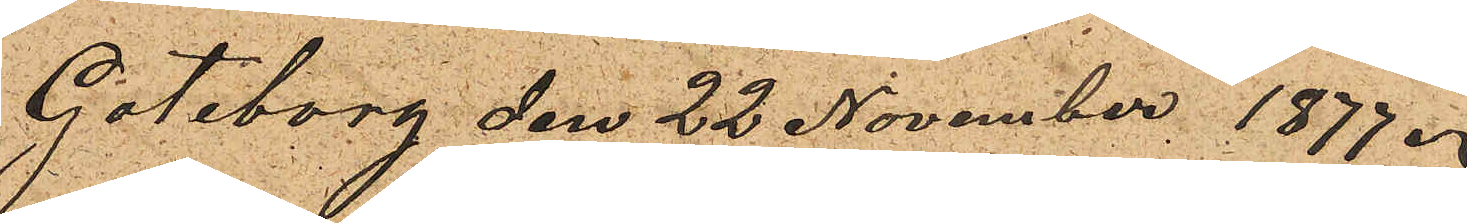Göteborg den 22 November 1877.
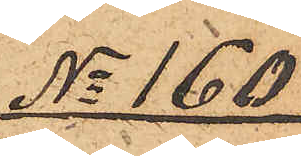No 160
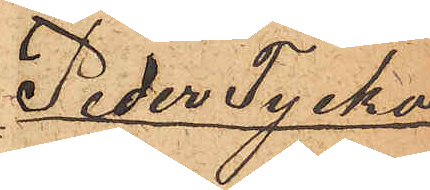Peder Tycko
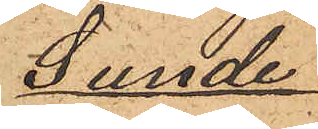Sunde
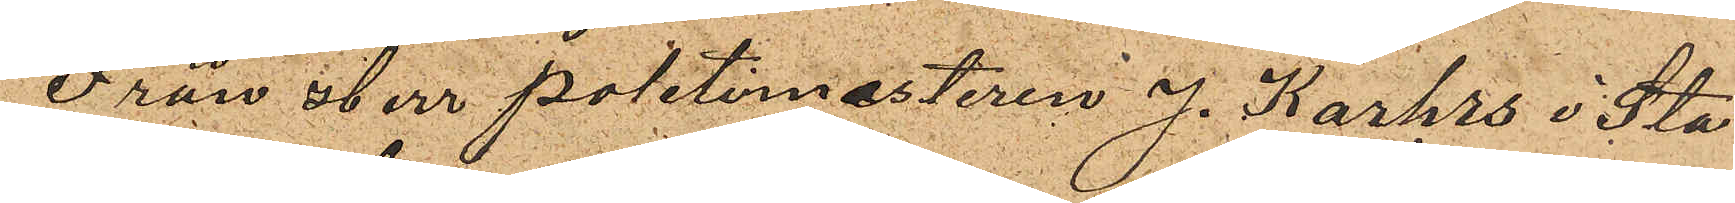Från Herr Politimestaren J. Karhrs i Sta¬
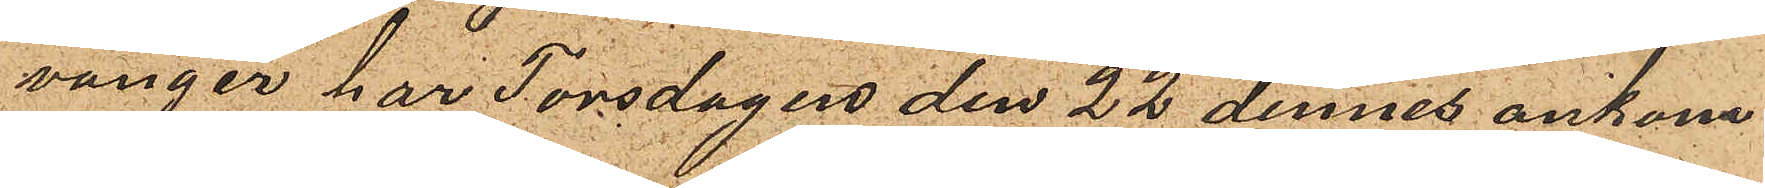vanger har Torsdagen den 22 dennes ankom¬
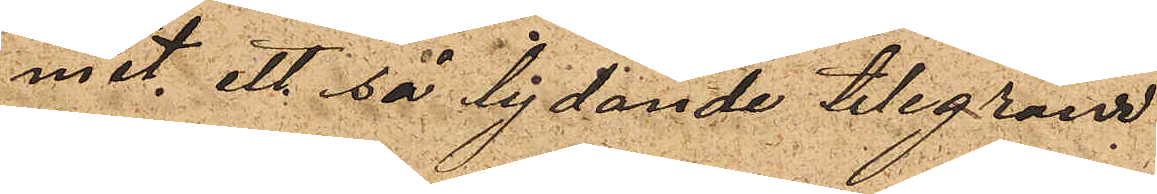mit ett så lydande telegram
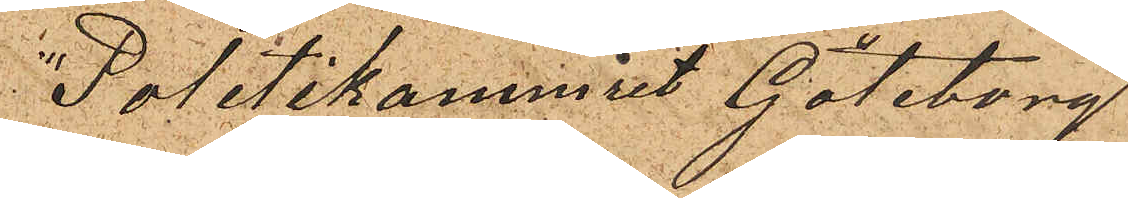"Politikammret Göteborg
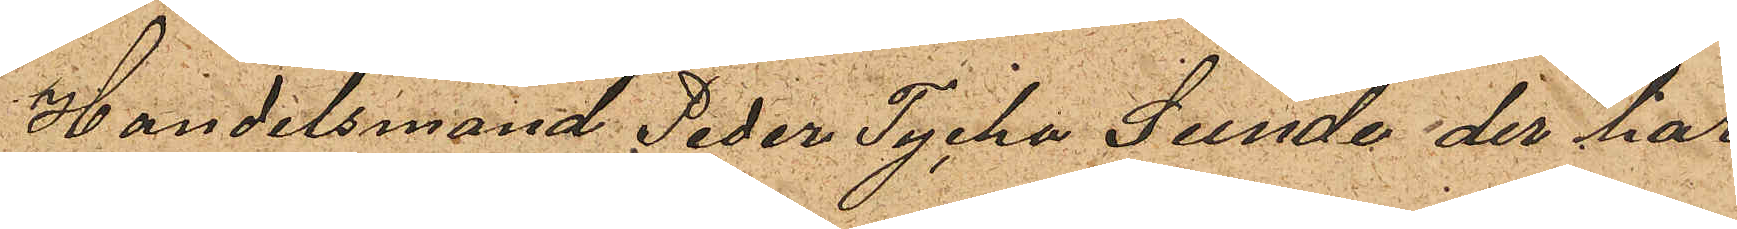Handelsmand Peder Tycko Sunde der har
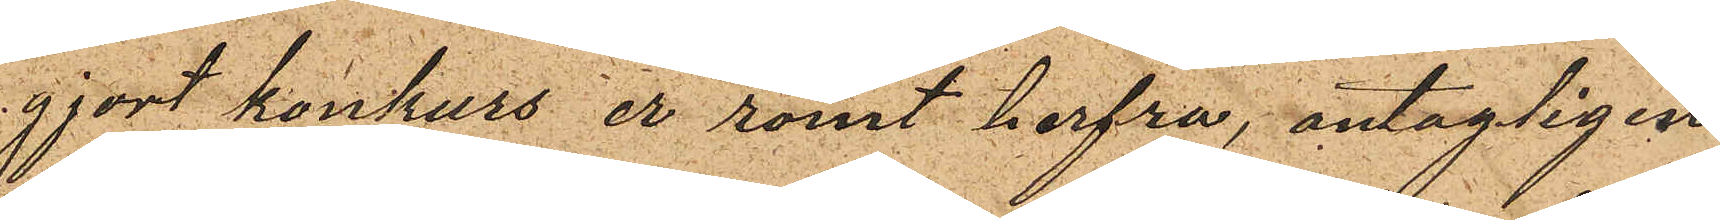gjort konkurs er römt herfra, antagligen
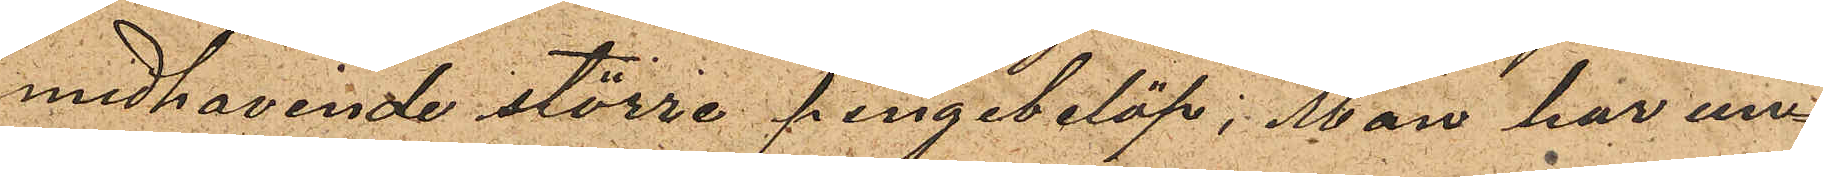medhavende större pengebelöp; Man har un¬
